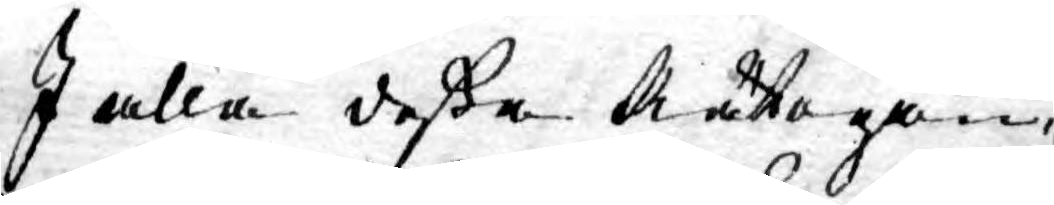I alla dessa Rättegån¬
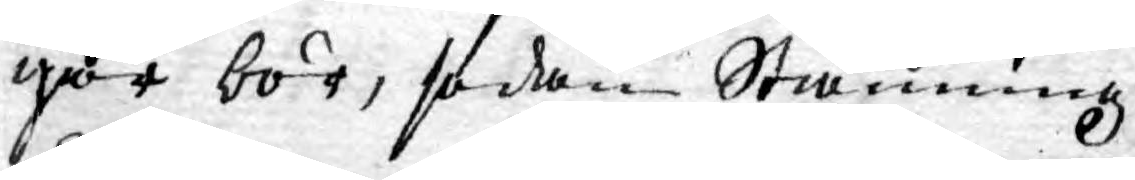gar bör, sedan Stämning
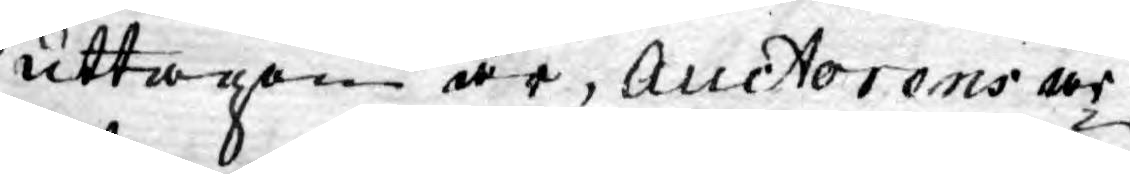uttagen är, Auctorens ar¬
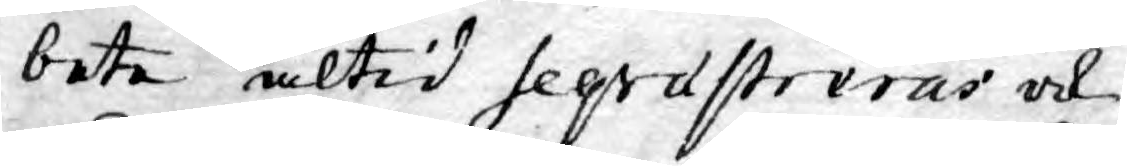bete altid Seqrastreras ock
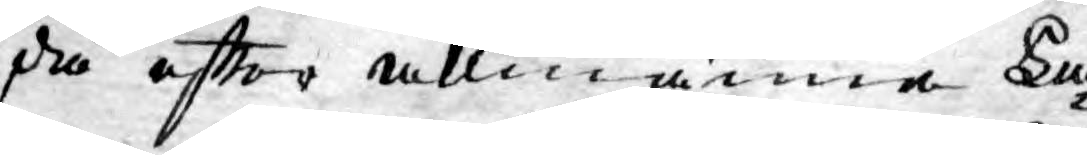då efter allmänna La¬
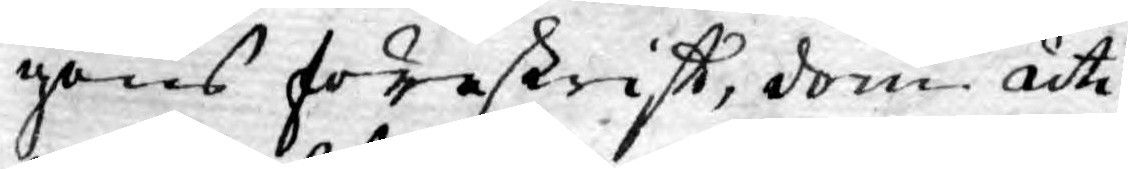gens föreskriff, dom uti
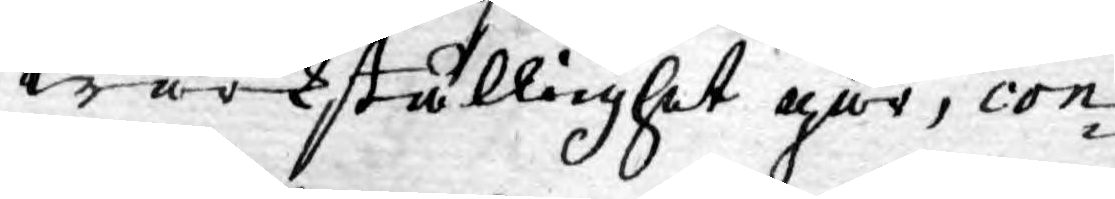wärkställighet går, con¬
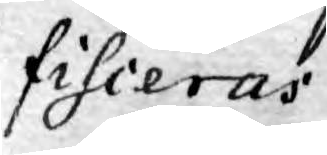fisceras.
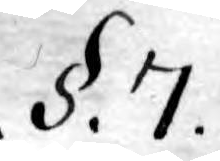.§. 7.
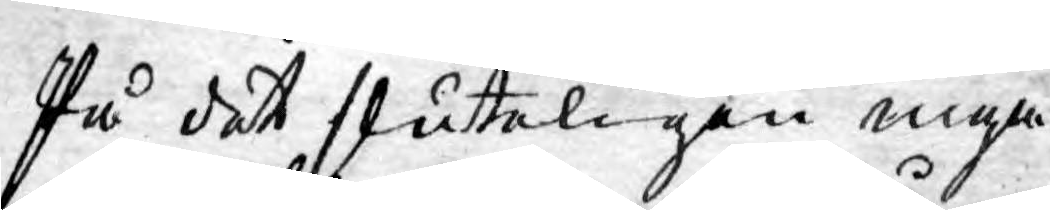På det sluteligen inga
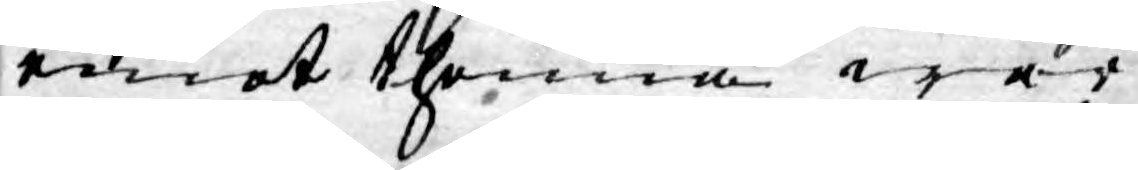emot thenna wår
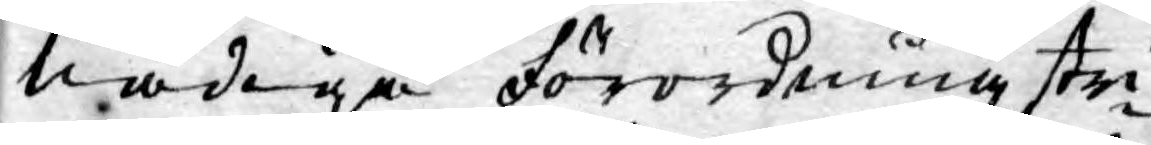nådiga förordning stri¬
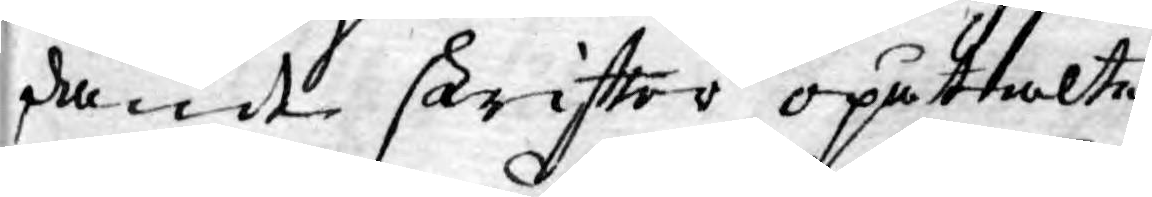dande skriftter opåtalte
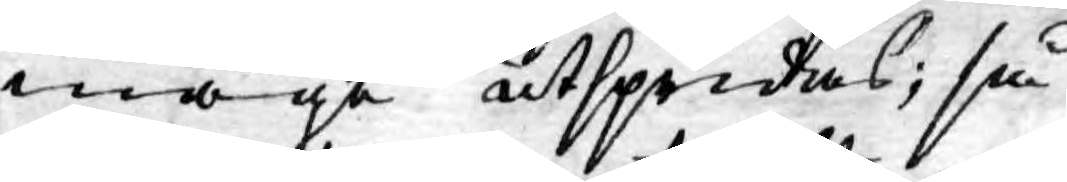måge utspridas; så
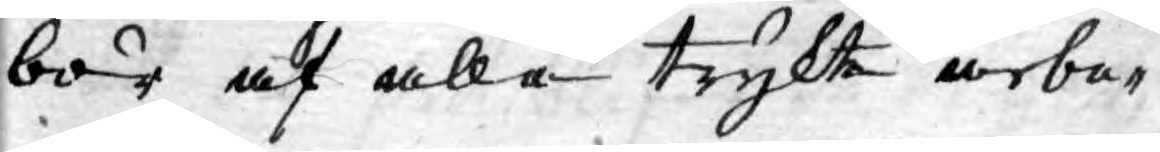bör af alla trykte arbe¬
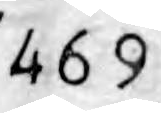469
